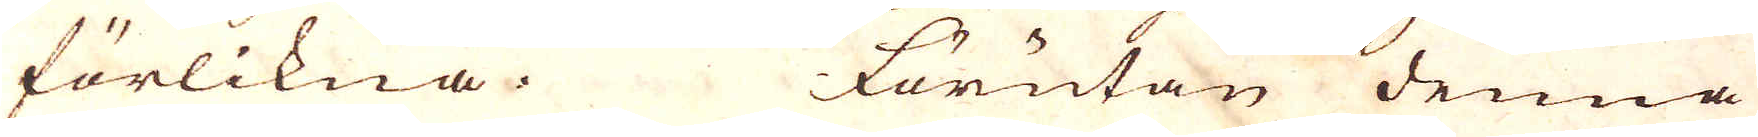förlikna. Förutan denna
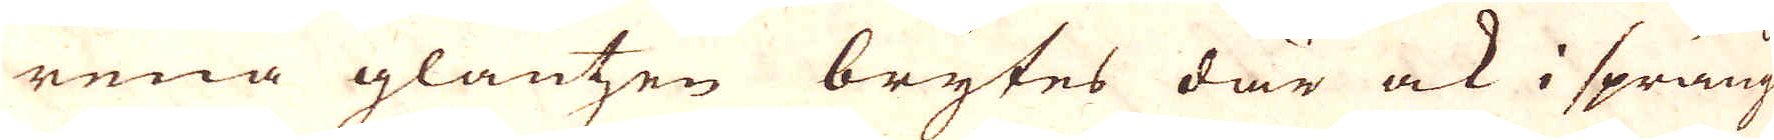rena glantzen brytes där ock i spräng
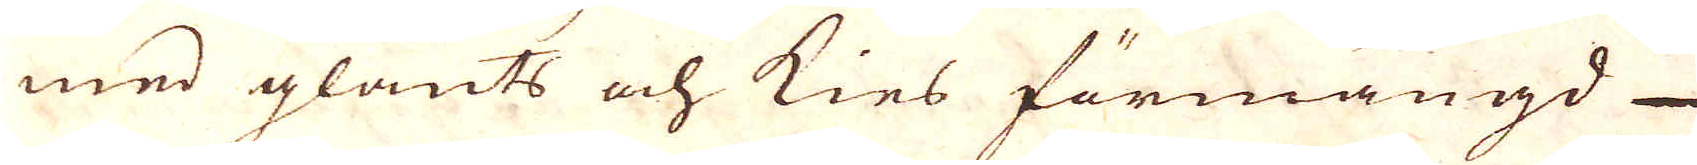med glants och kies förmängd
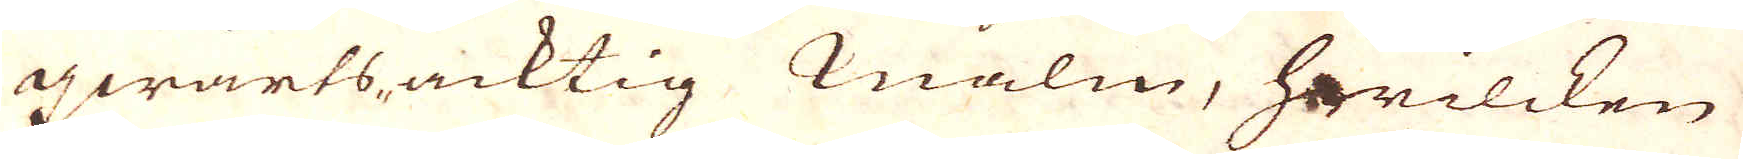qwartsacktig malm, hwilcken
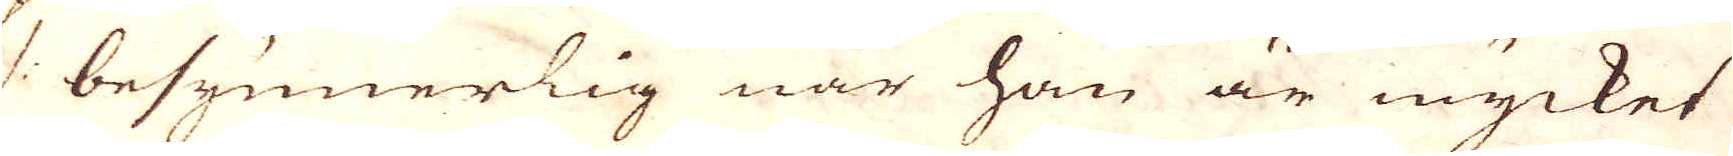/: besynnerlig när han är mycket
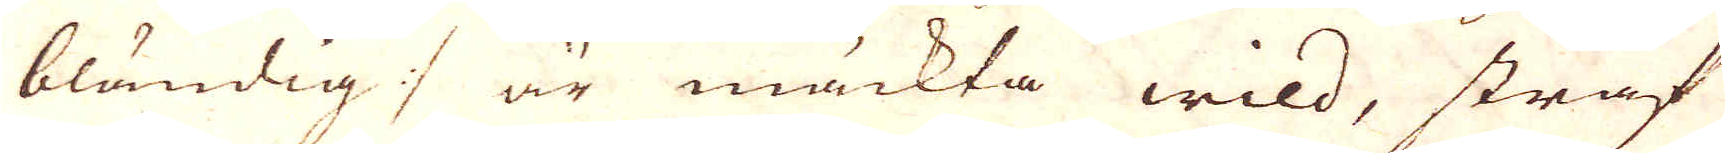bländig :/ är mäckta wild, straf
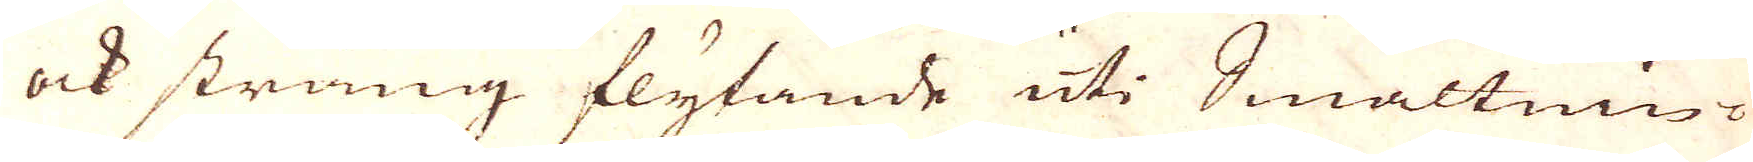ock sträng flytande uti Smältnin-
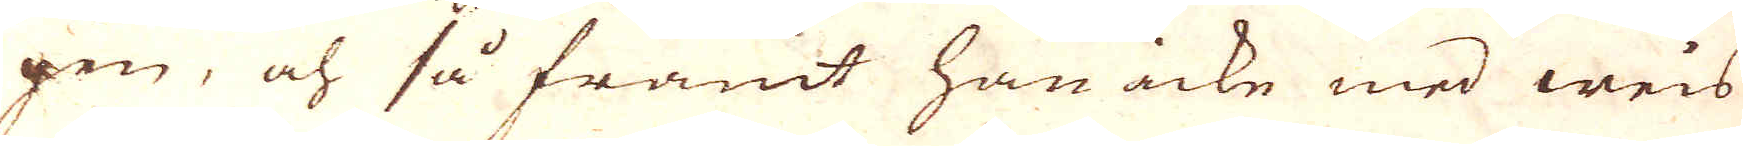gen, och så framt han icke med weis
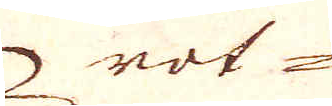rot-
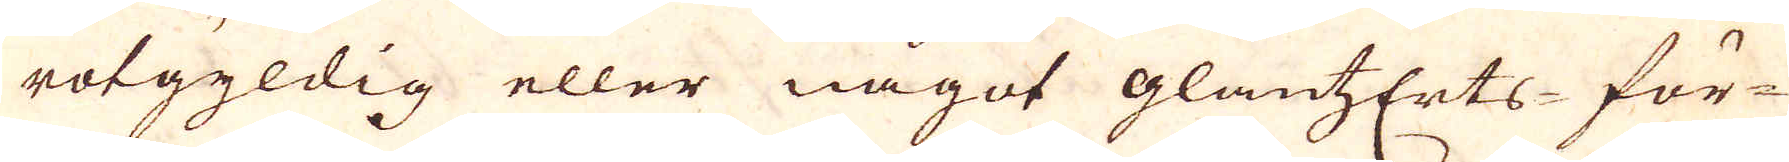rotgyldig eller något glansErts-för-
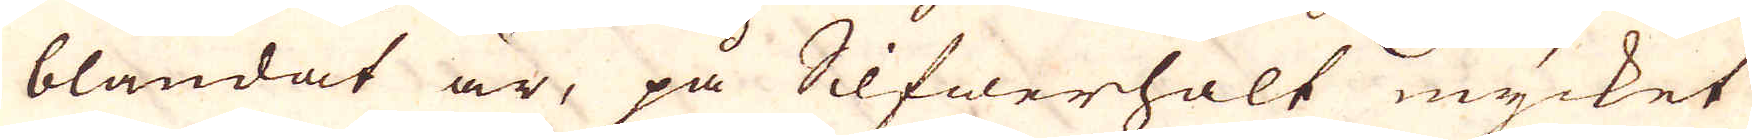blandat är, på Silfwerhalt mycket
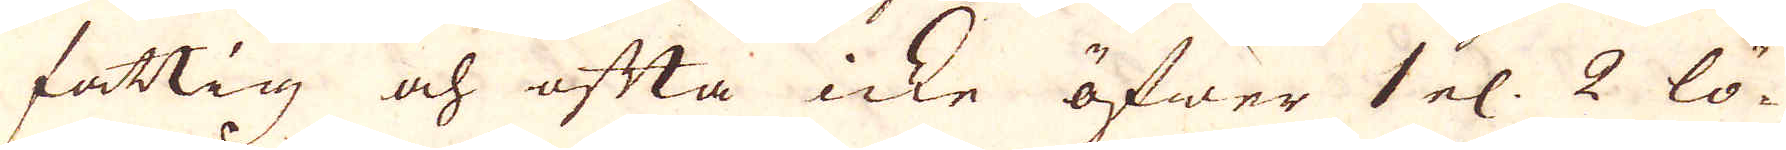fattig och ofta icke öfwer 1 el. 2 lö-
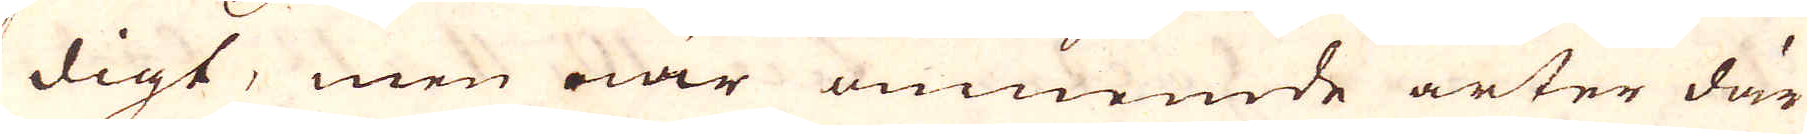digt, men när omnemde arter där
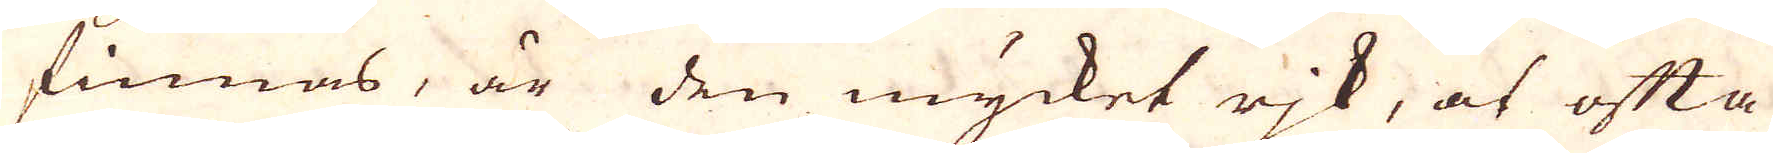finnas, är den mycket rik, at ofta
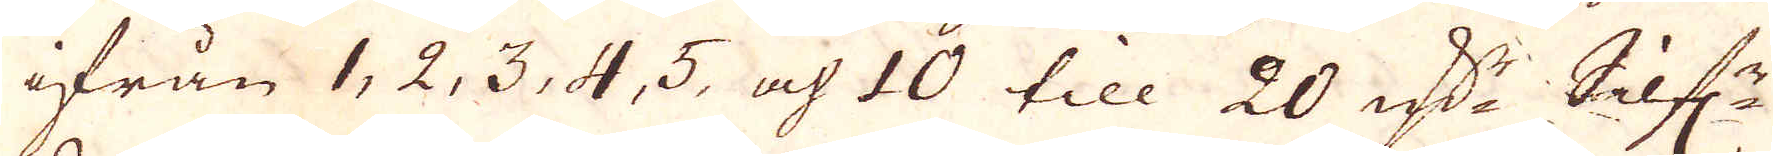ifrån 1, 2, 3, 4, 5, och 10 till 20 marker Silf:r
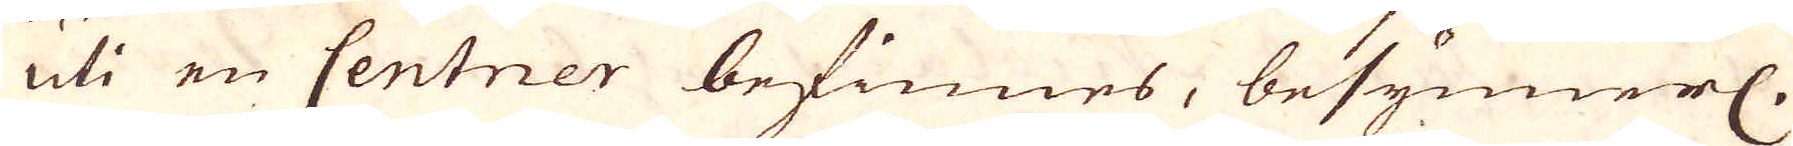uti en Centner befinnes, besynnerl.
